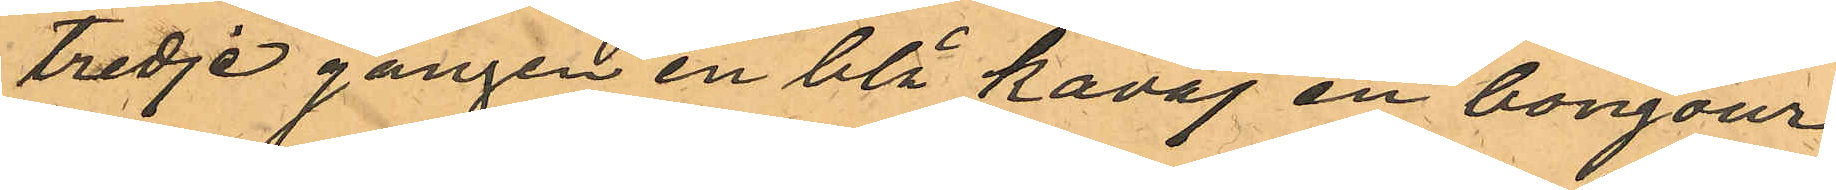tredje gången en blå kavaj en bonjour,
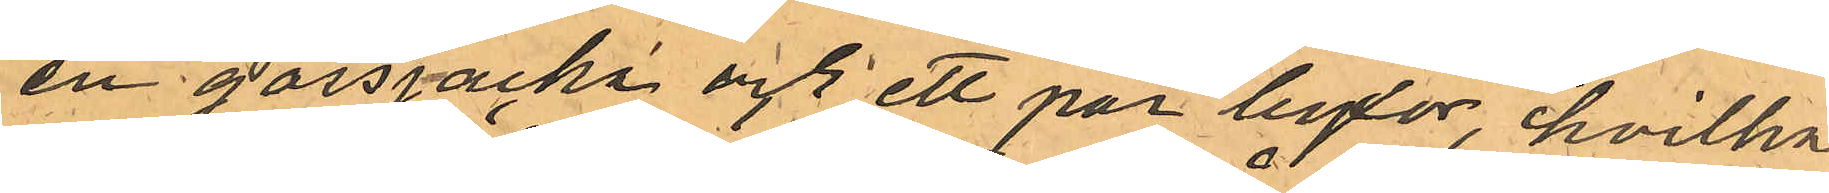en gossjacka och ett par byxor, hvilka
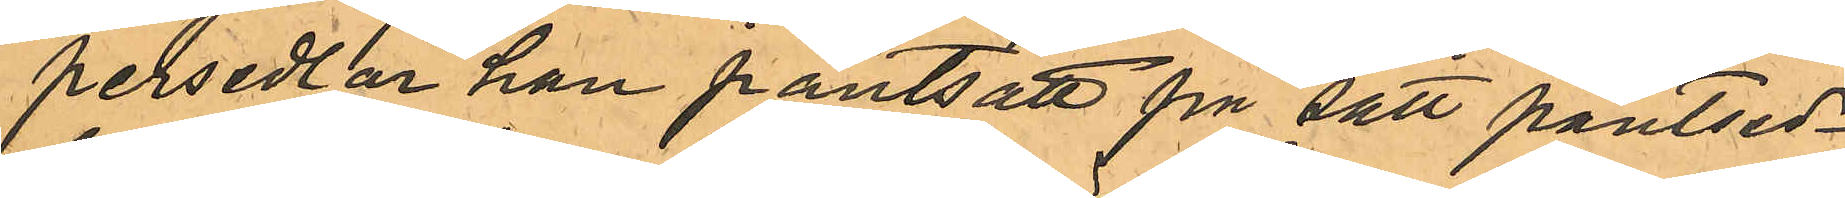persedlar han pantsatt på sätt pantsed¬
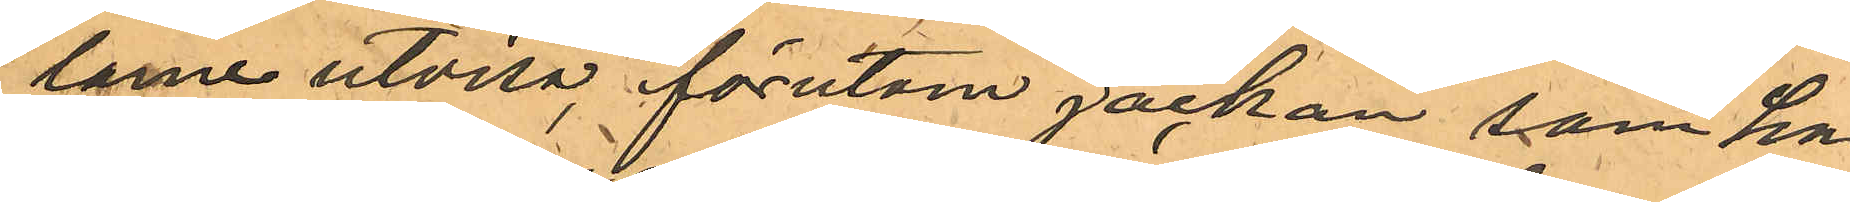larne utvisa, förutom jackan som han
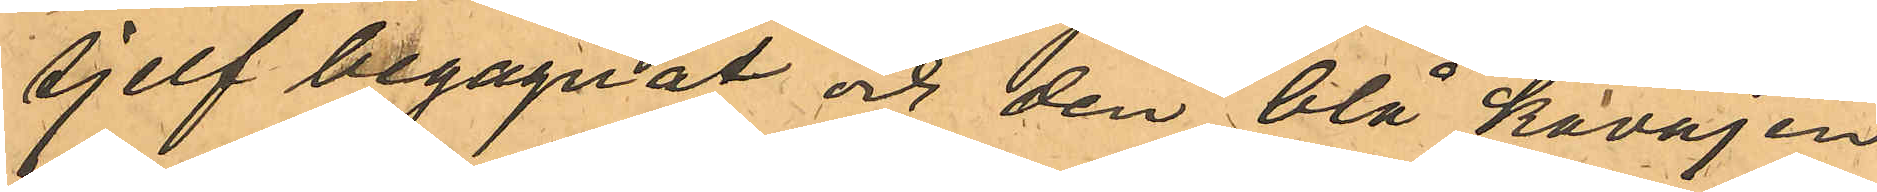sjelf begagnat och den blå kavajen
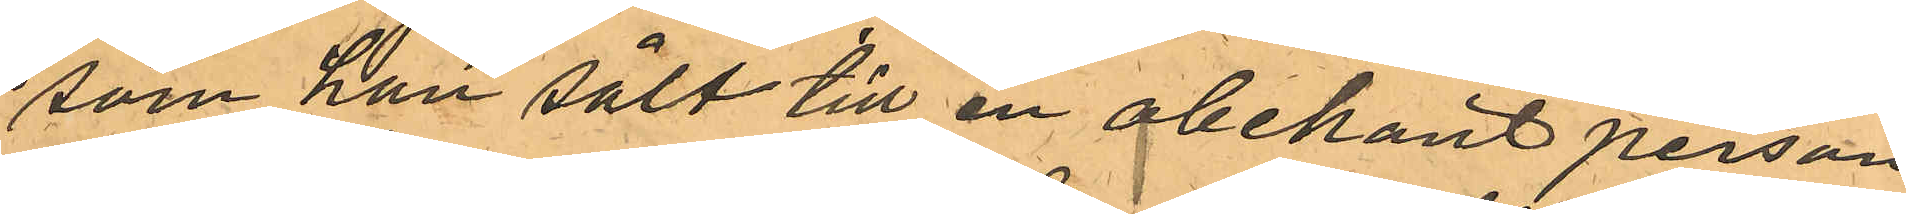som han sålt till en obekant person
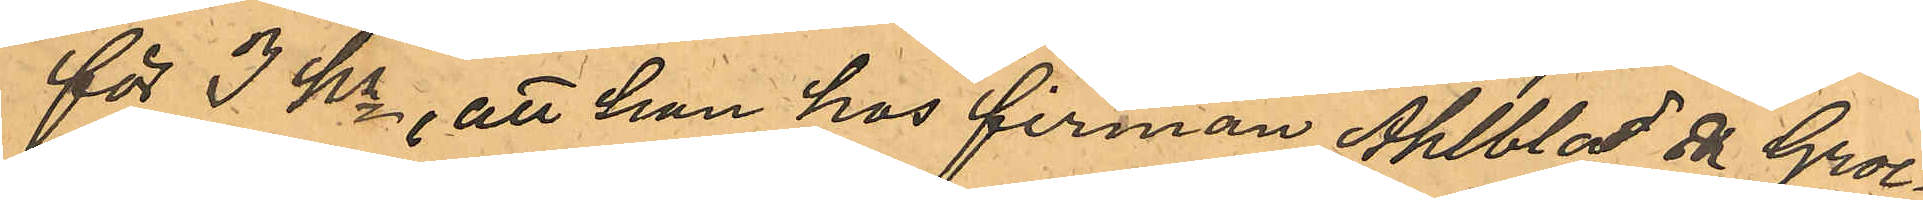för 3 Kr, att han hos firman Ahlblad & Groe¬
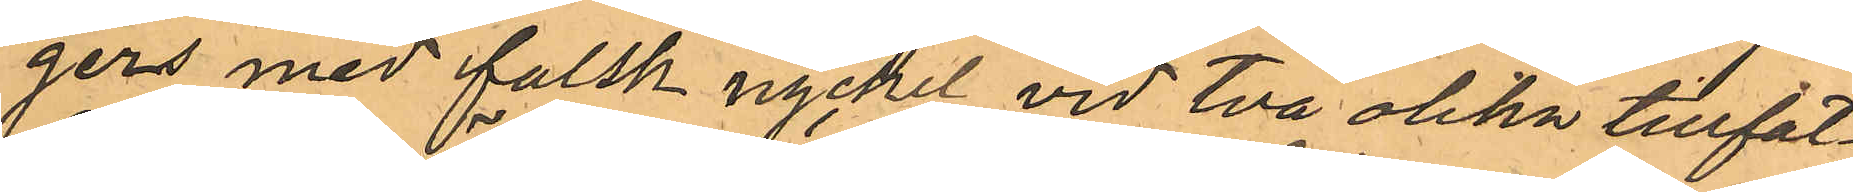gers med falsk nyckel vid två olika tillfäl¬
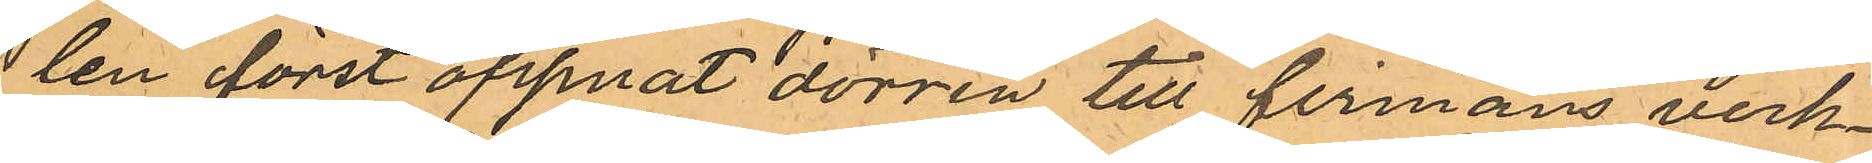len först öppnat dörren till firmans verk¬
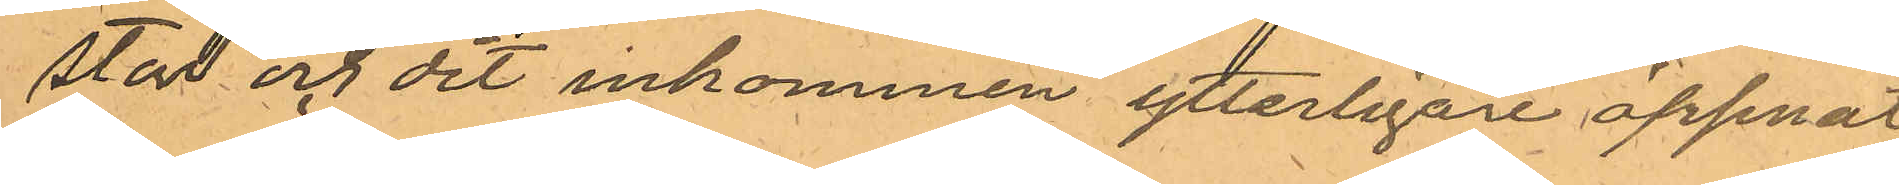stad och dit inkommen ytterligare öppnat
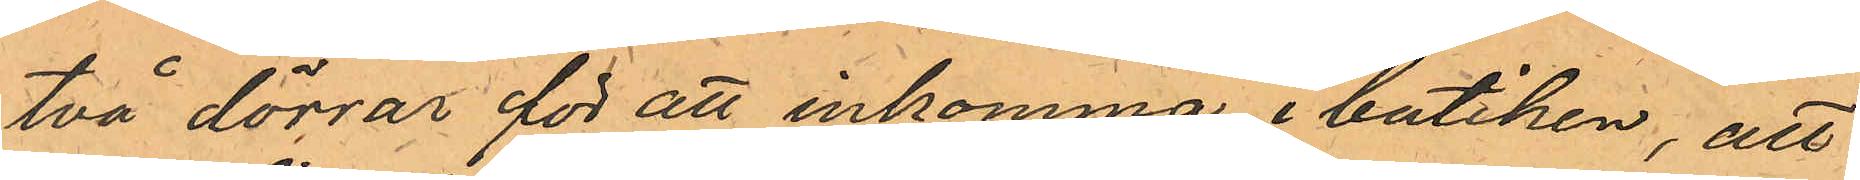två dörrar för att inkomma i butiken, att
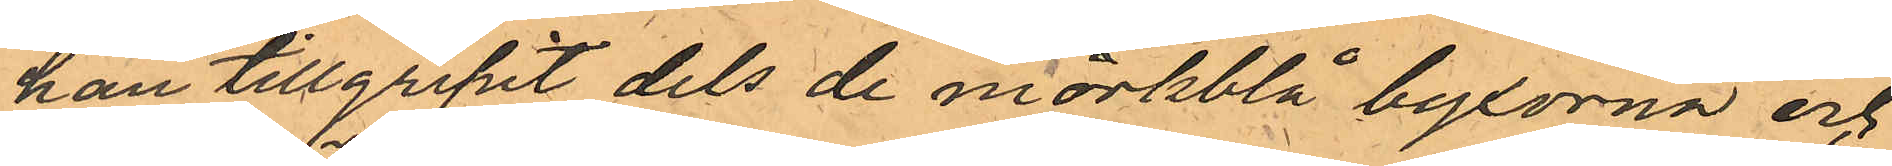han tillgripit dels de mörkblå byxorna och
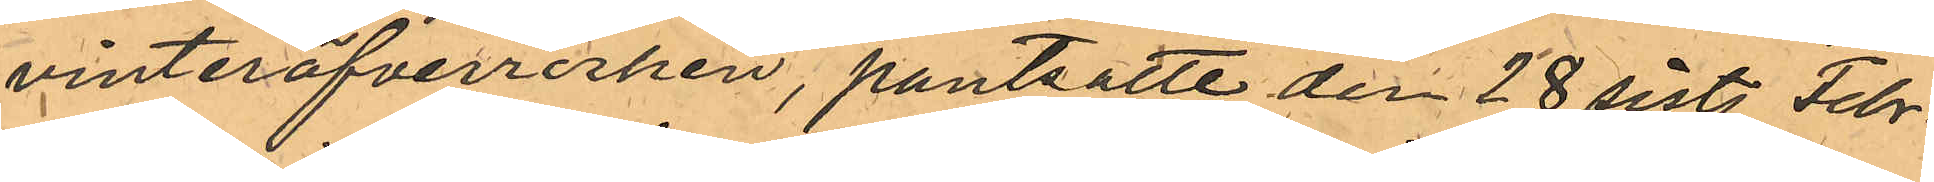vinteröfverrocken, pantsatte den 28 sistl. Febr.
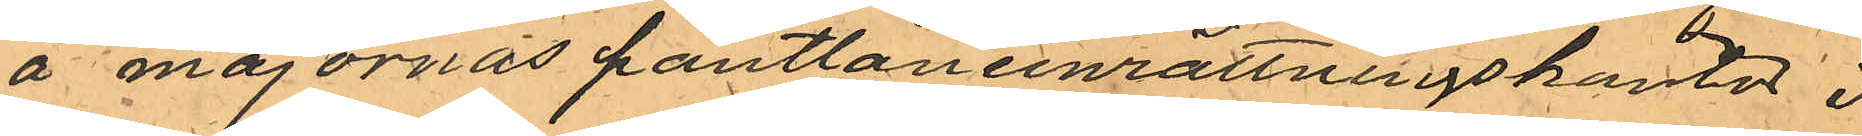å majornas pantlåneinrättningskontor i 
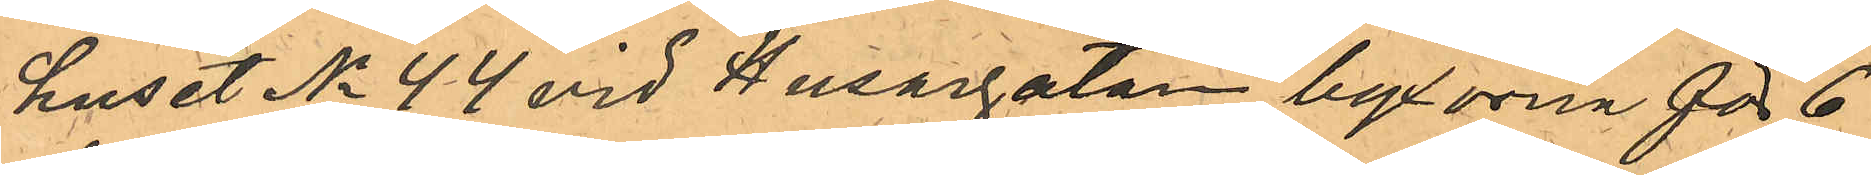huset No 44 vid Husargatan byxorna för 6
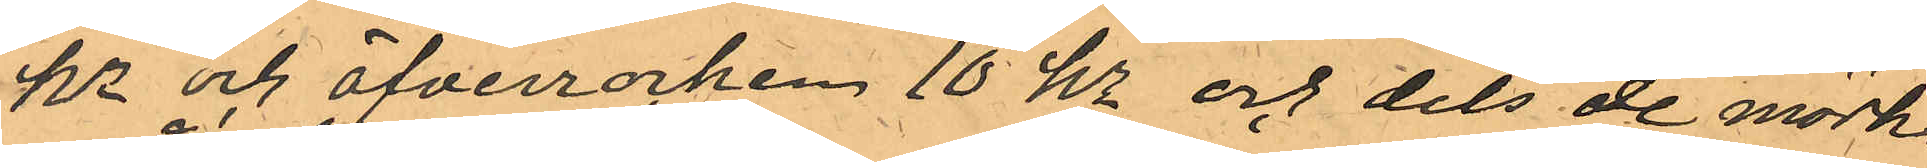Kr och öfverrrocken 10 kr och dels de mörk¬
